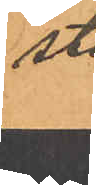sted.
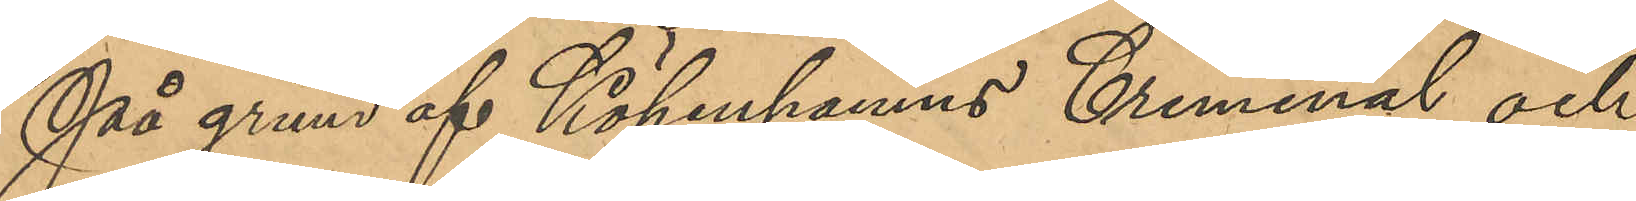På grund af Köpenhamns Criminal och
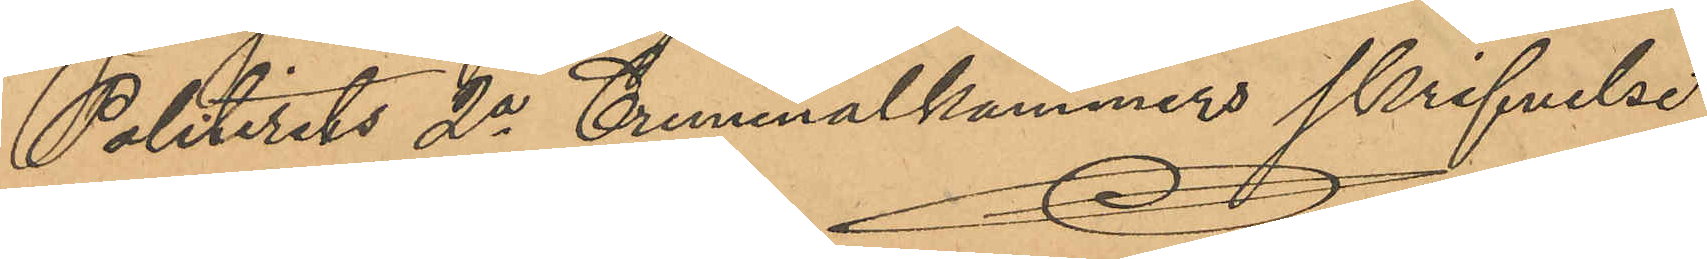Politirets 2a Criminalkammers skrifvelse
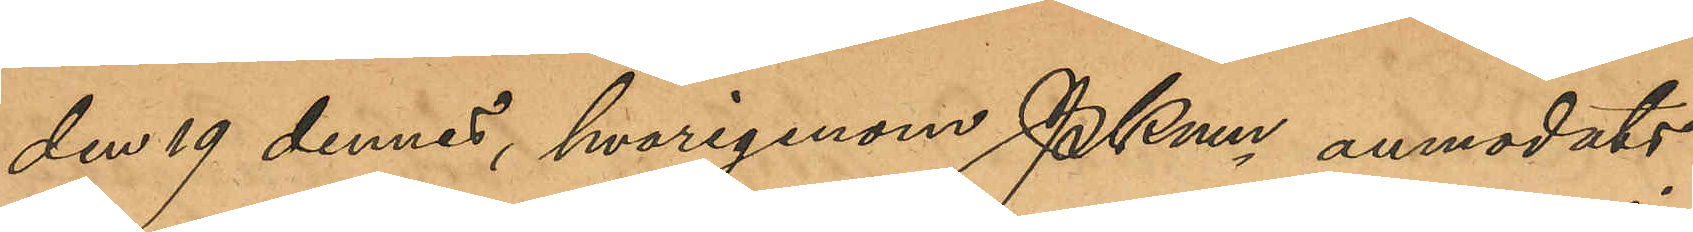den 19 dennes hvarigenom PKmn anmodats
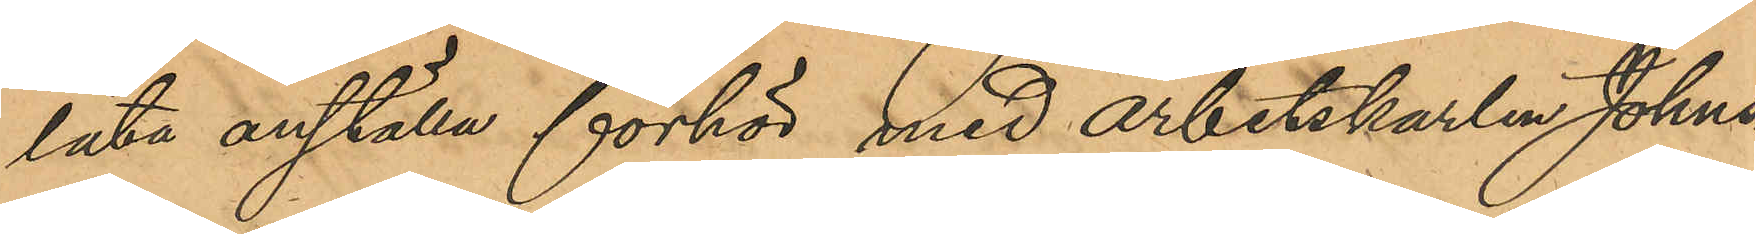låta anställa förhör med arbetskarlen Johns¬
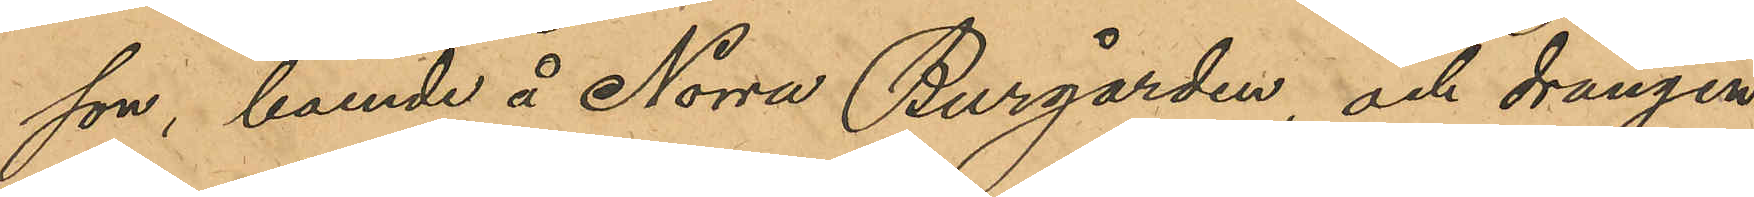son, boende å Norra Burgården, och drängen
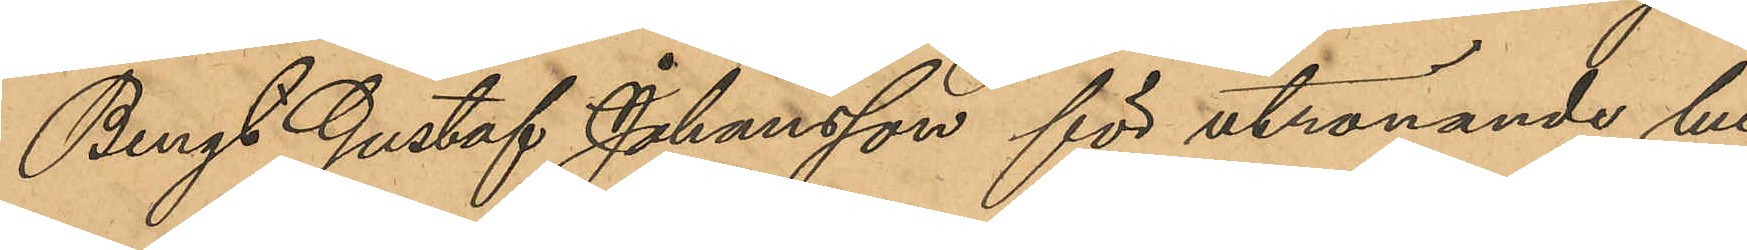Bengt Gustaf Johansson för utrönande hu¬
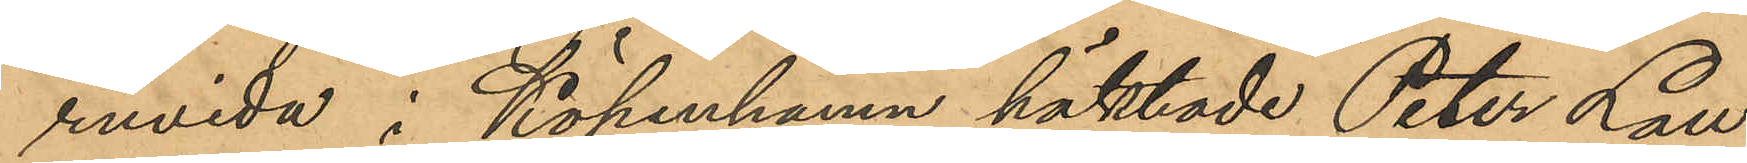rurvida i Köpenhamn häktade Peter Lau¬
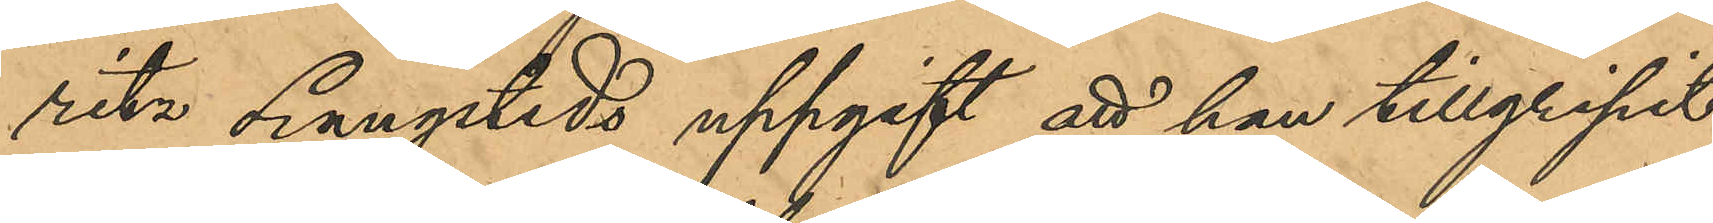ritz Langsteds uppgift att han tillgripit
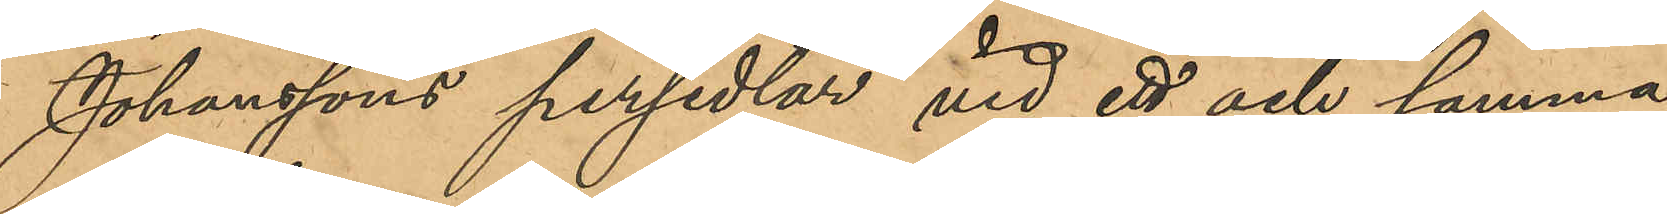Johanssons persedlar vid ett och samma
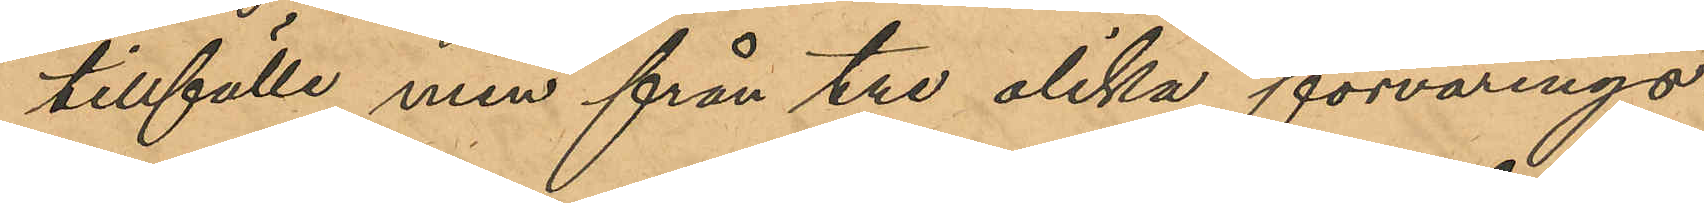tillfälle men från tre olika förvarings¬
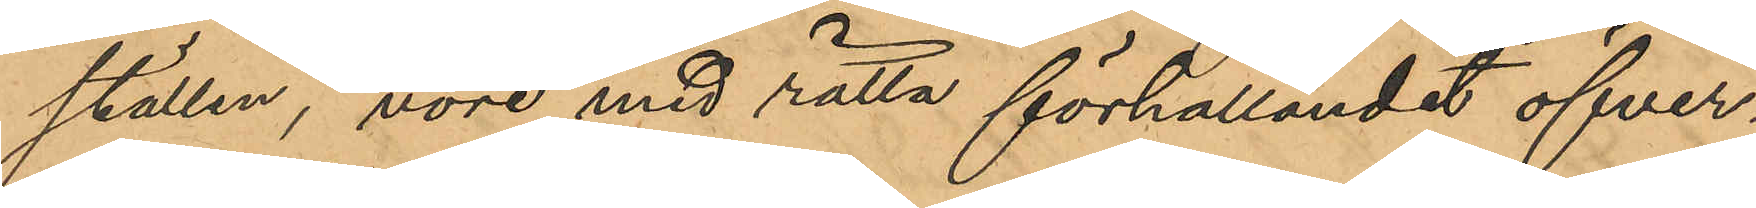ställen, vore med rätta förhållandet öfver¬
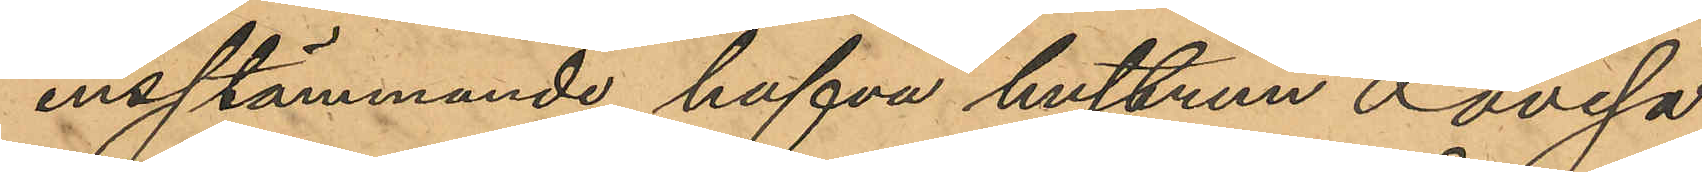ensstämmande, hafva hustrun Lovisa
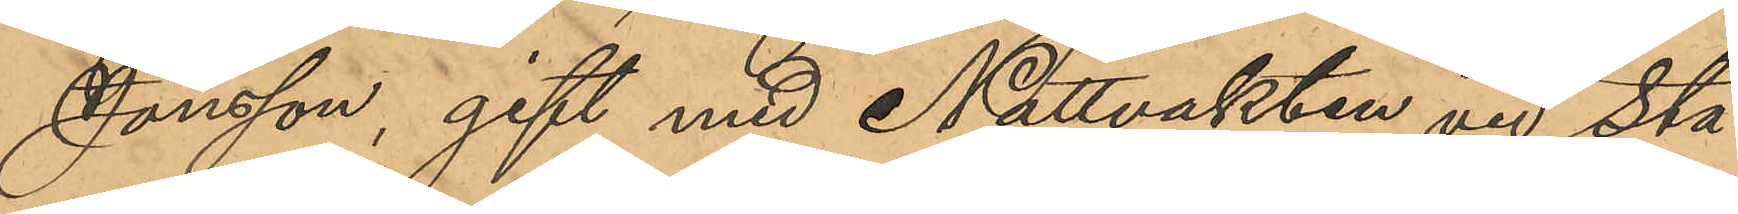Jönsson, gift med Nattvakten vid Sta¬
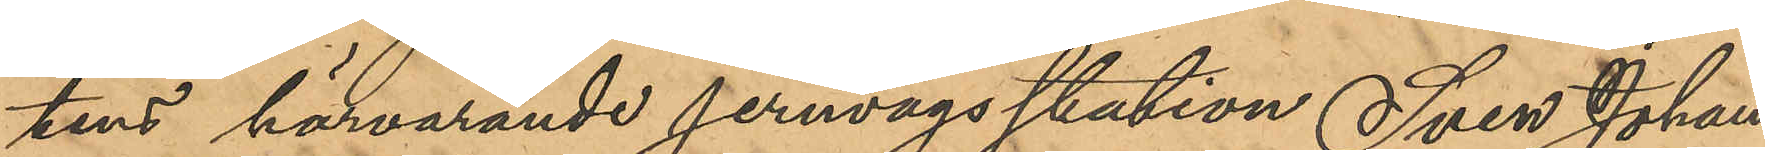tens härvarande jernvägsstation Sven Johan
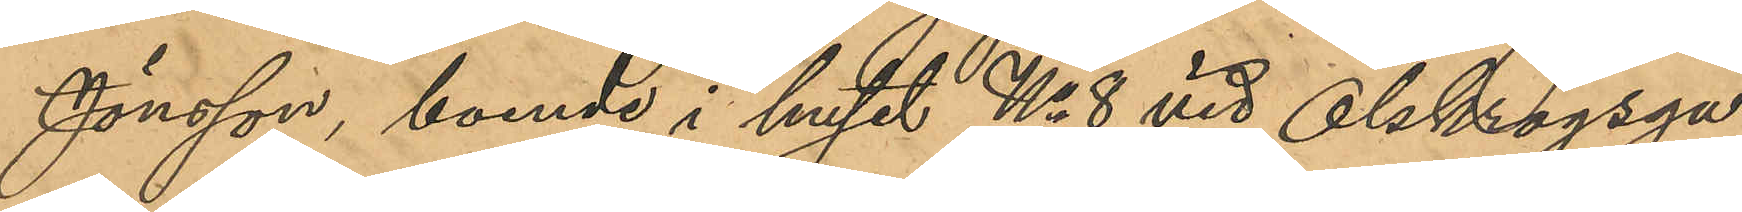Jönsson, boende i huset No 8 vid Olskrogsga¬
